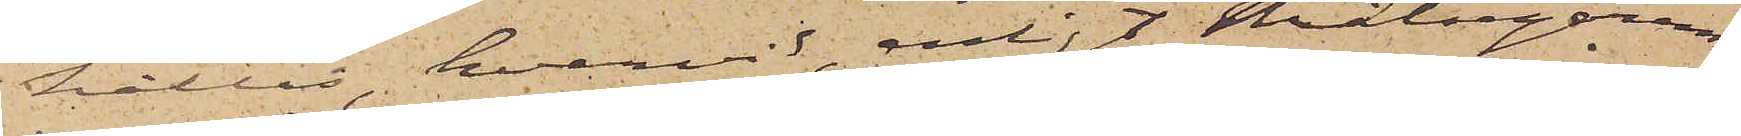hållas, hvarvid, enligt Målsegarens
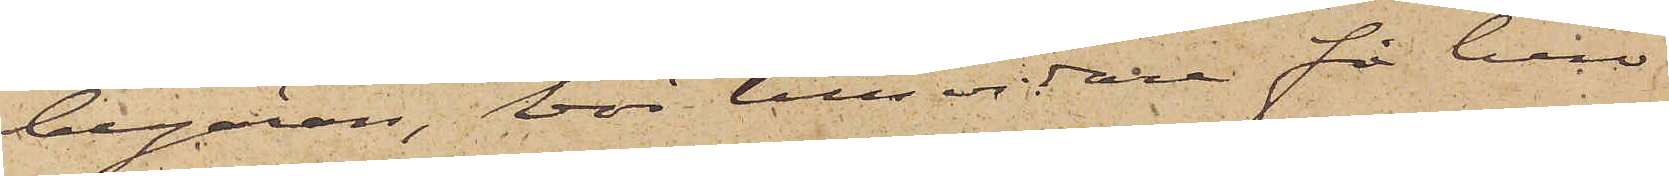begäran, bör tillsvidare få bero.
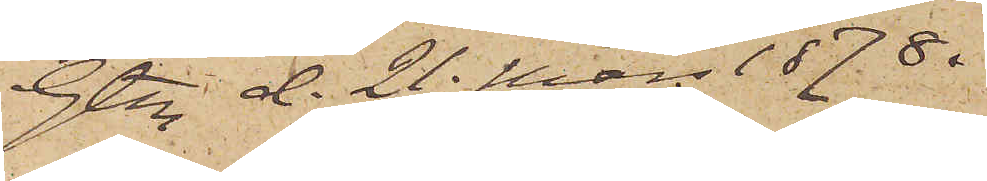Gtbg d. 21 Mars 1878.
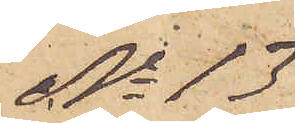No 13
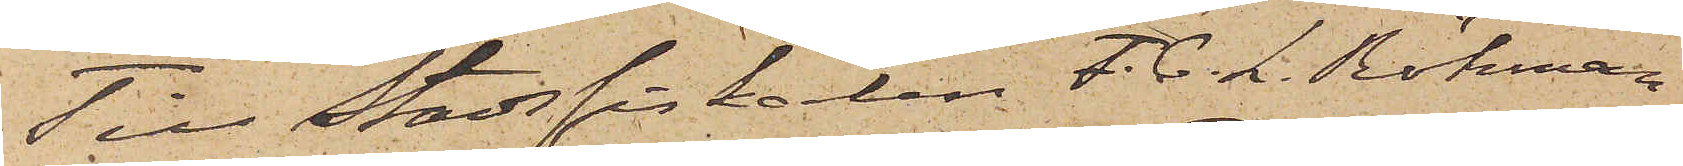Till Stadsfiskarlen F. C. L. Röhman
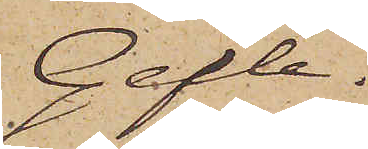Gefle
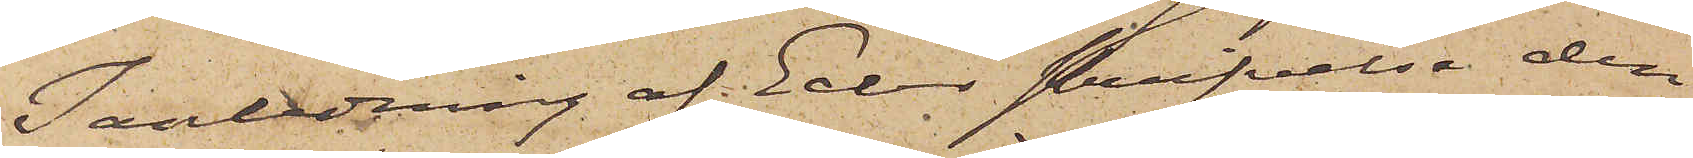I anledning af Eder skrifvelse den
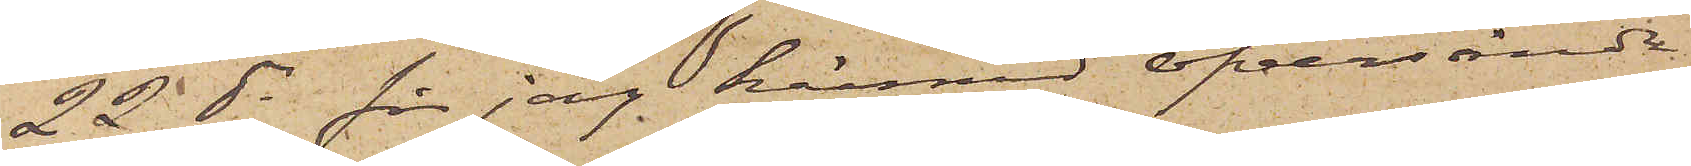22 ds får jag härmed öfversända
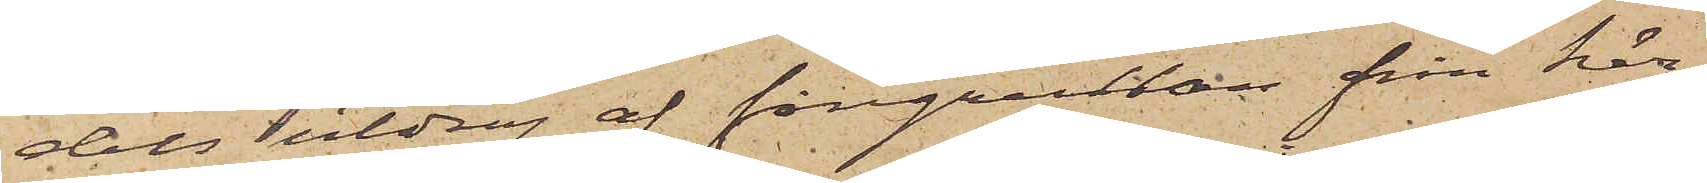dels utdrag af fångrullan från här¬
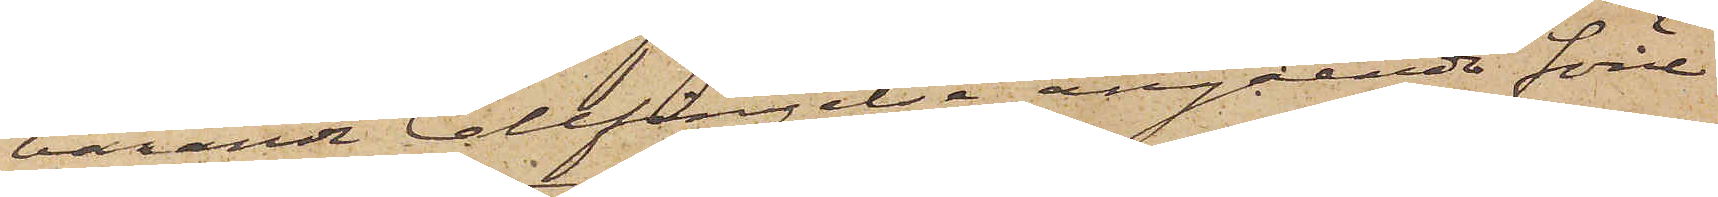varande Cellfängelse angående förre
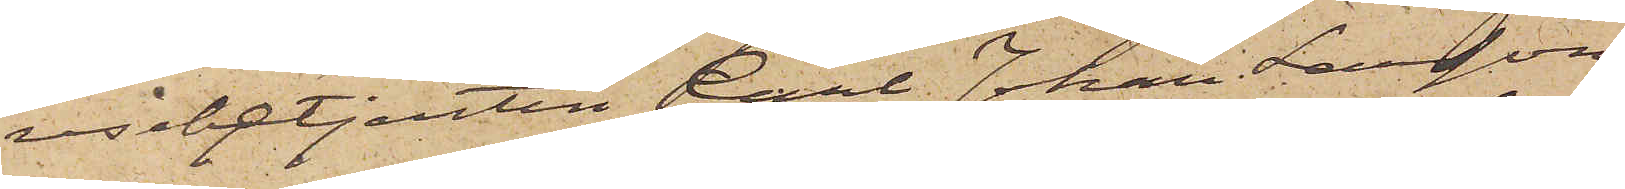resebetjenten Carl Johan Larsson
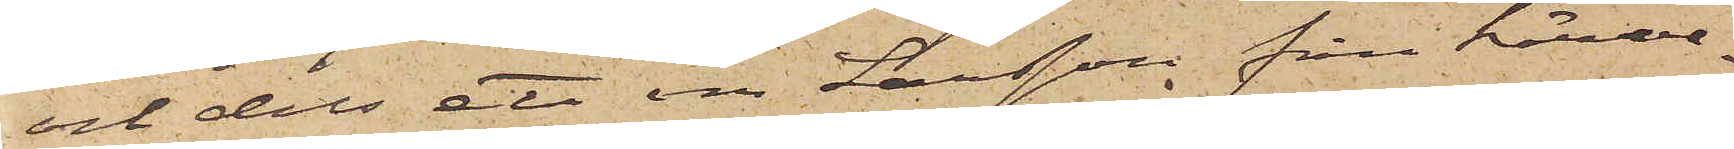och dels ett om Larsson från härva¬
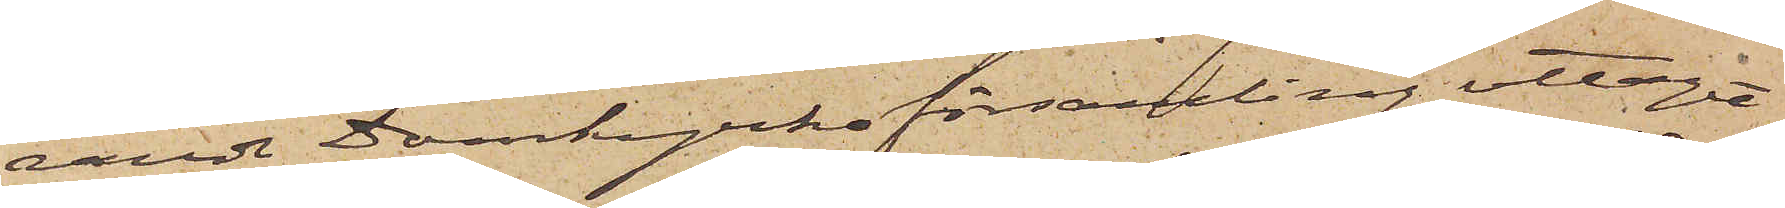rande Domkyrkoförsamling uttaget
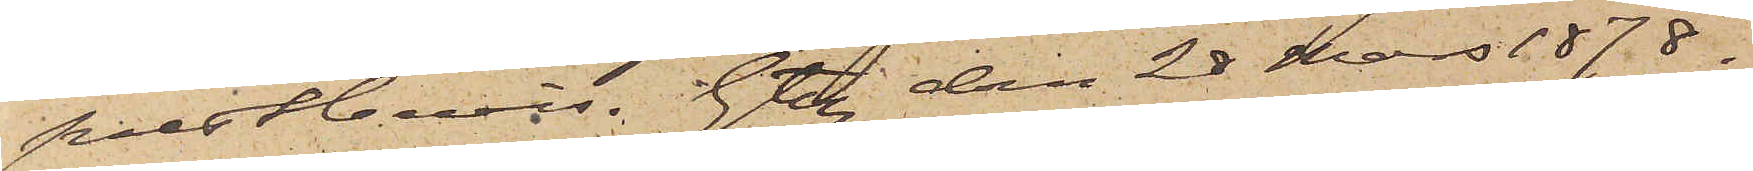prestbevis. Gtbg den 28 Mars 1878.
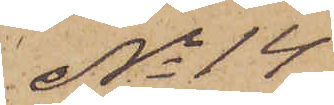No 14
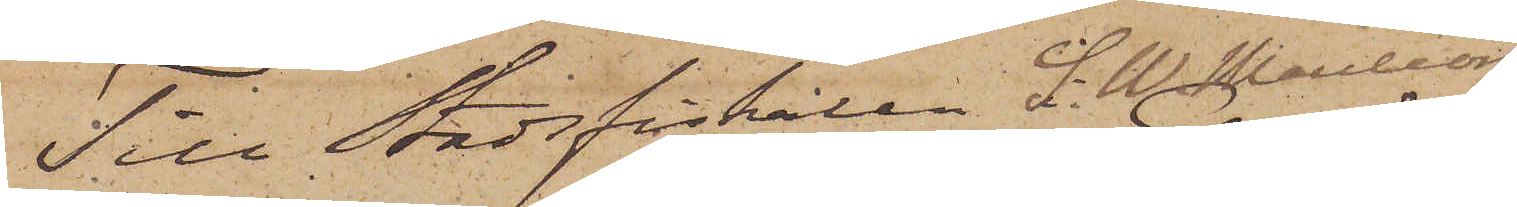Till Stadsfiskalen S. W. Mauléon
